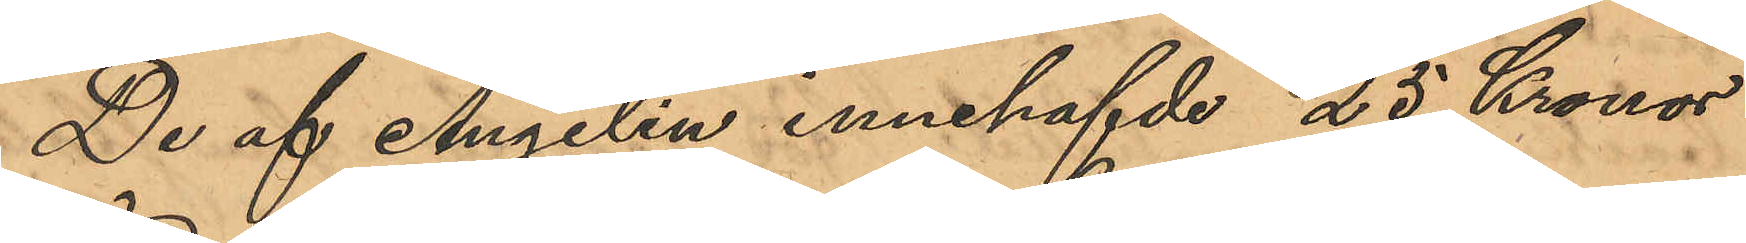De af Angelin innehafvde 25 Kronor
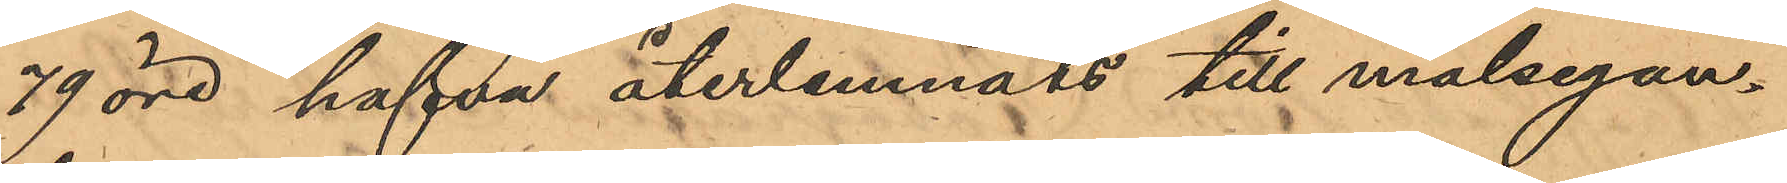79 öre, hafva återlemnats till målsegan¬
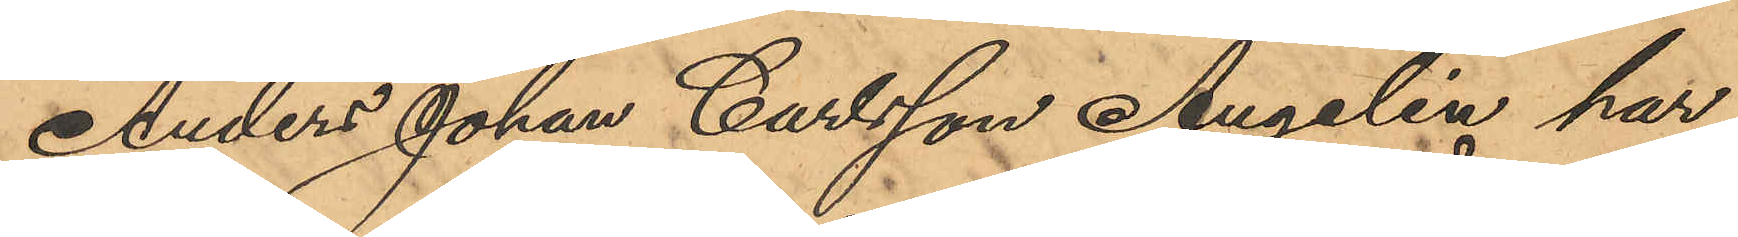Anders Johan Carlsson Angelin har
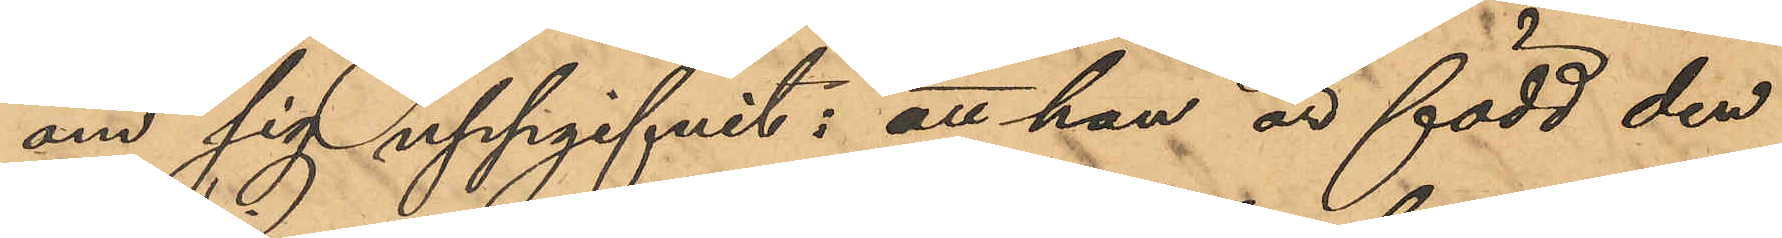om sig uppgifvit: att han är född den
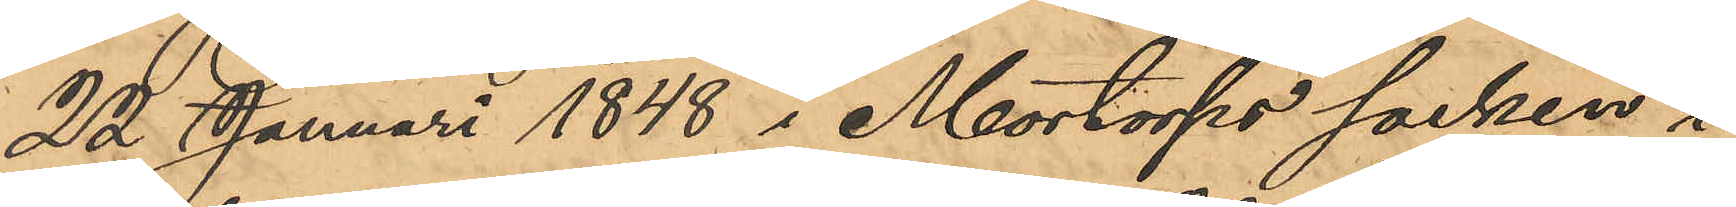22 Januari 1848 i Mortorps socken i
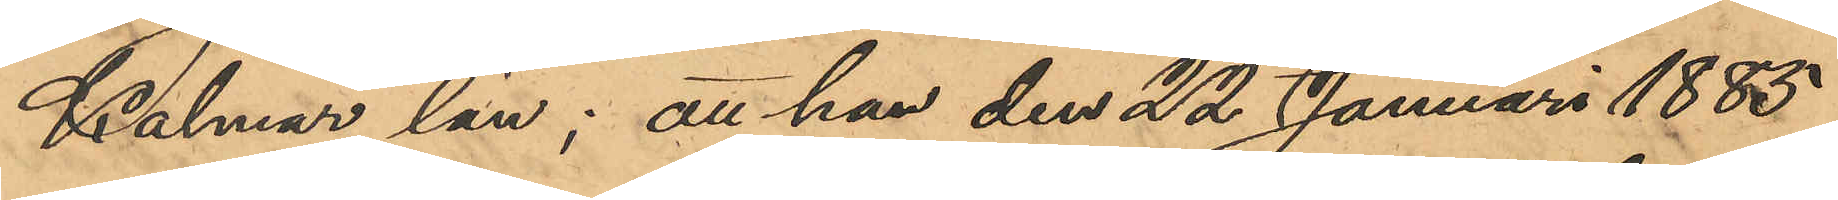Kalmar län; att han den 22 Januari 1885
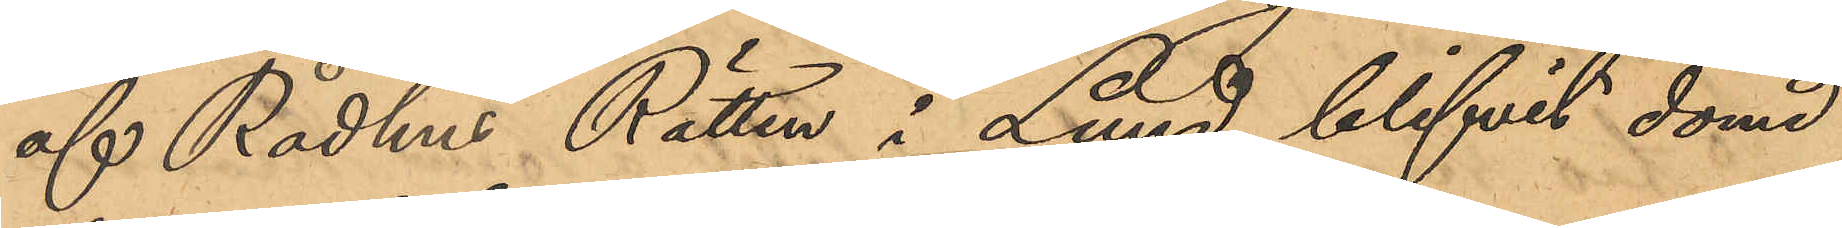af Rådhus Rätten i Lund blifvit dömd
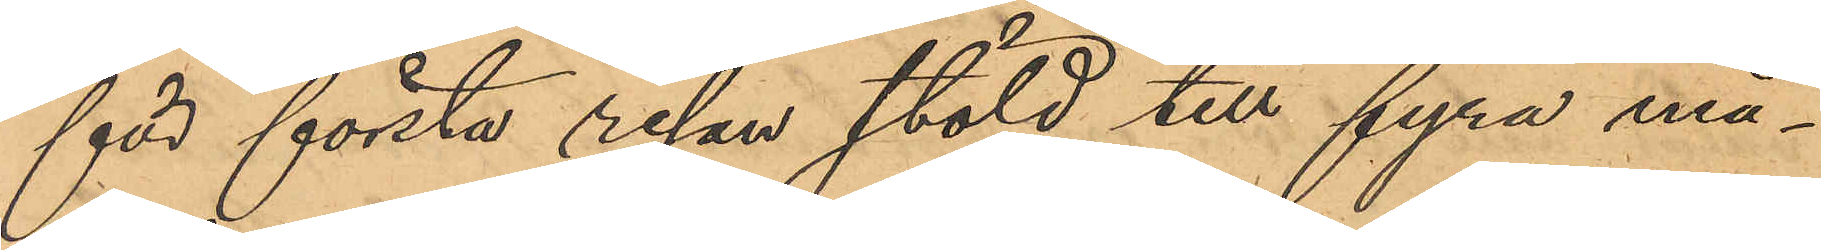för första resan stöld till fyra må¬
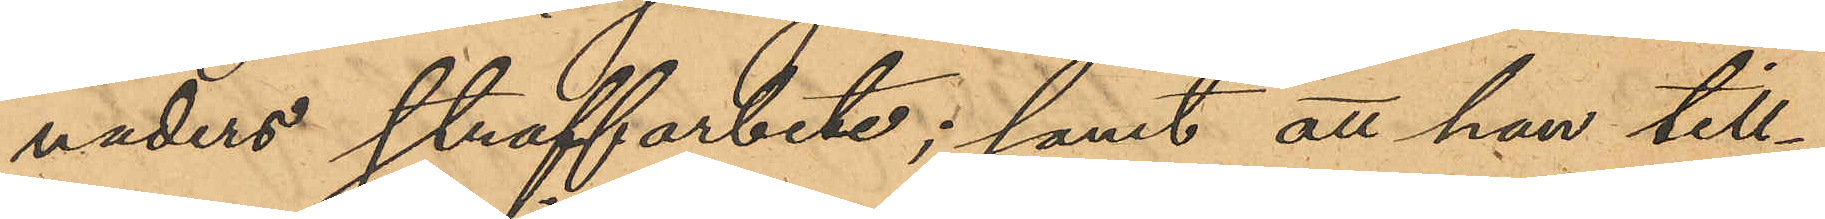naders straffarbete; samt att han till¬
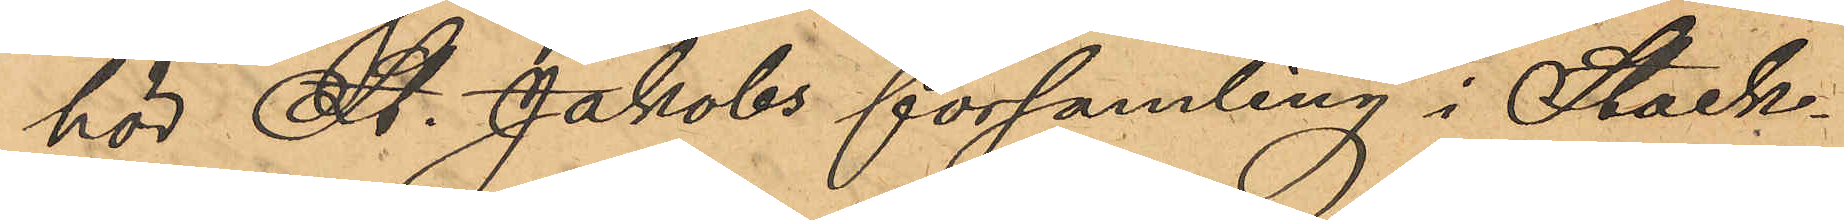hör St. Jakobs församling i Stock¬
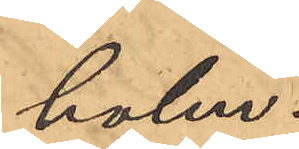holm.
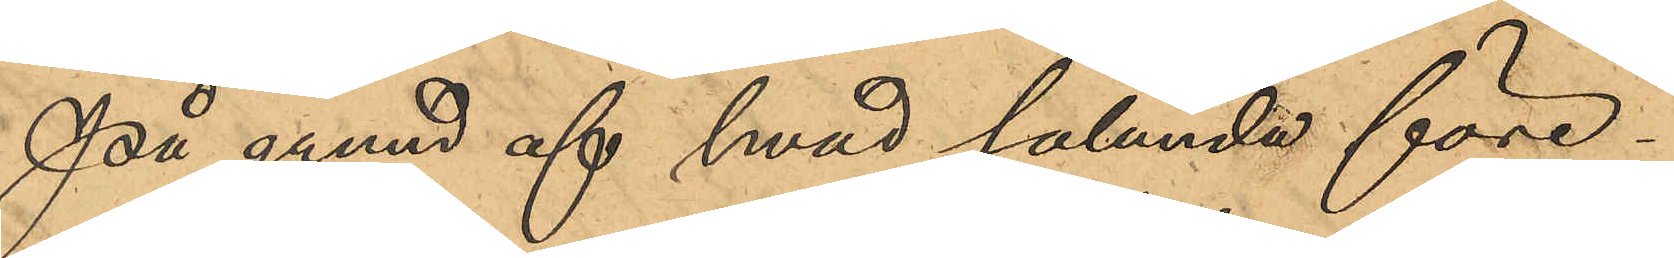På grund af hvad sålunda före¬
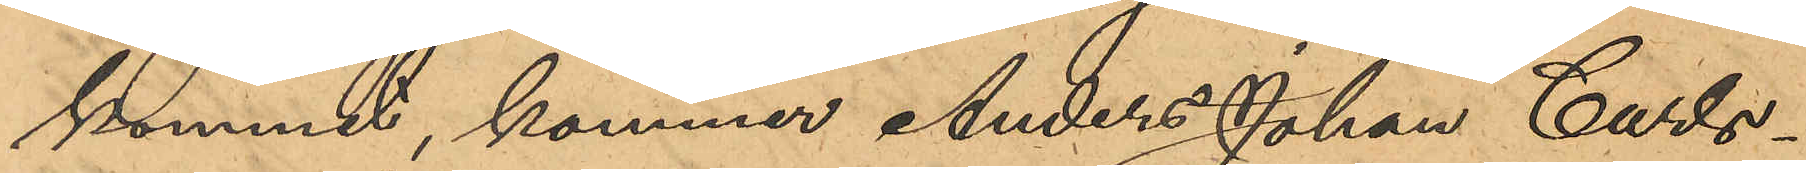kommit, kommer Anders Johan Carls¬
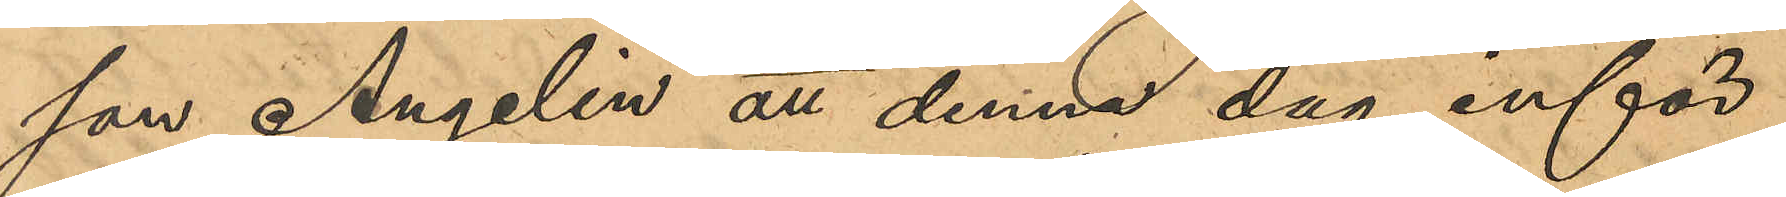son Angelin att denna dag inför
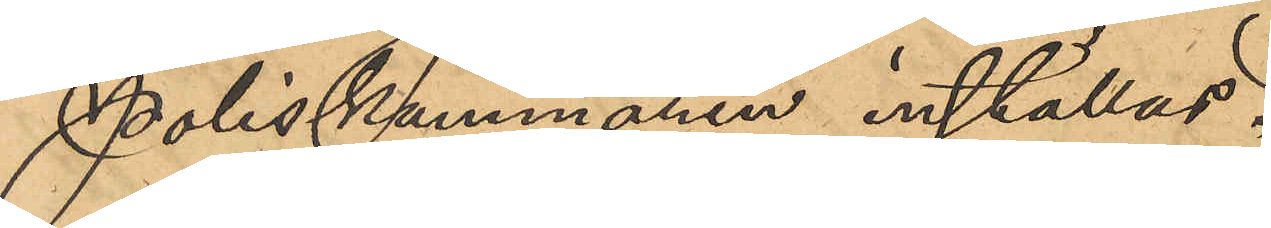Poliskammaren inställas.
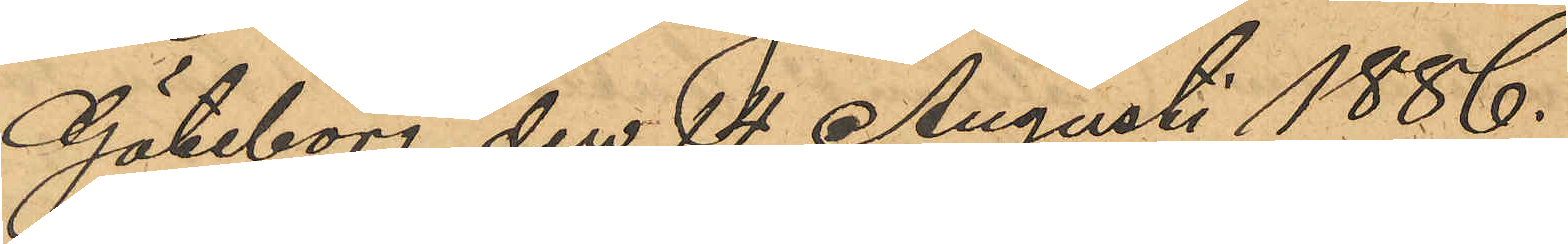Göteborg den 14 Augusti 1886.
